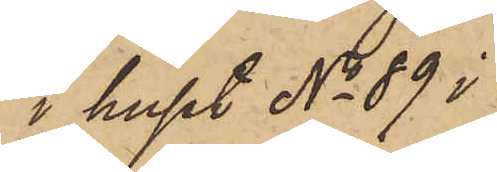i huset No 89 i
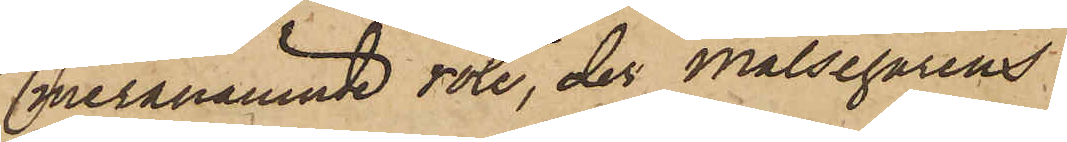meranämnde rote, der Målsegarens
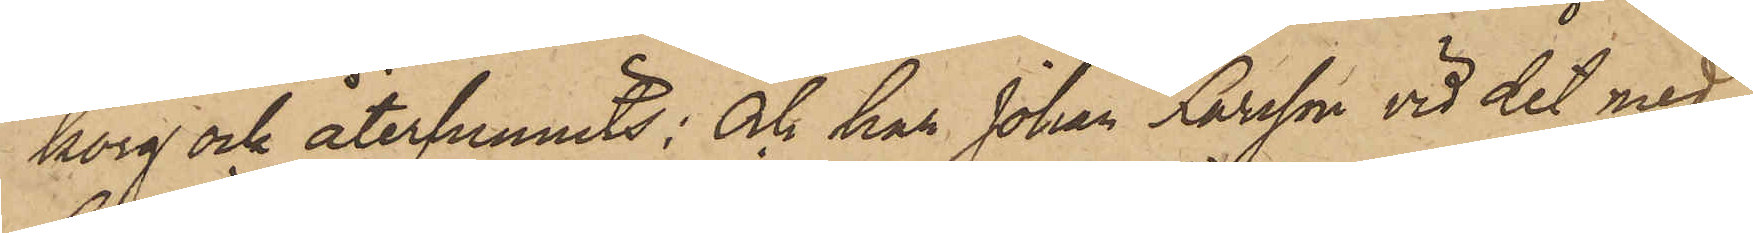korg ock återfunnits; Och har Johan Larsson vid det med
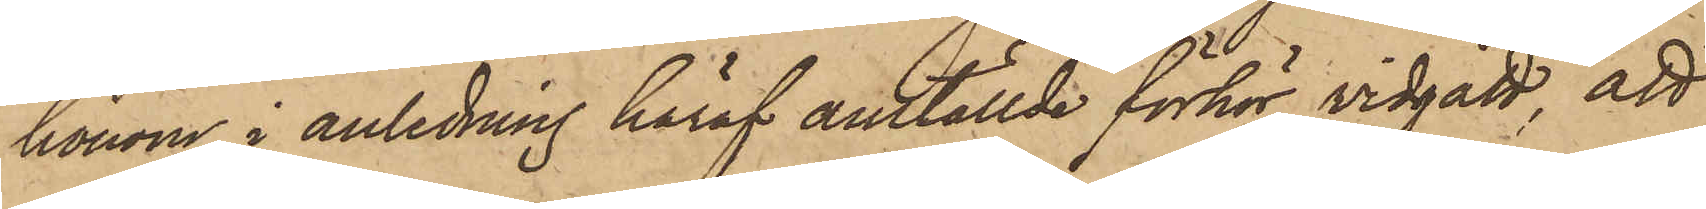honom i anledning häraf anställde förhör vidgått, att
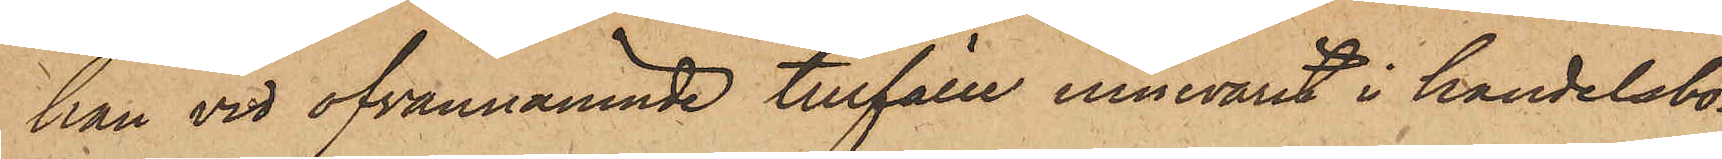han vid ofvannämnde tillfälle innevarit i handelsbo¬
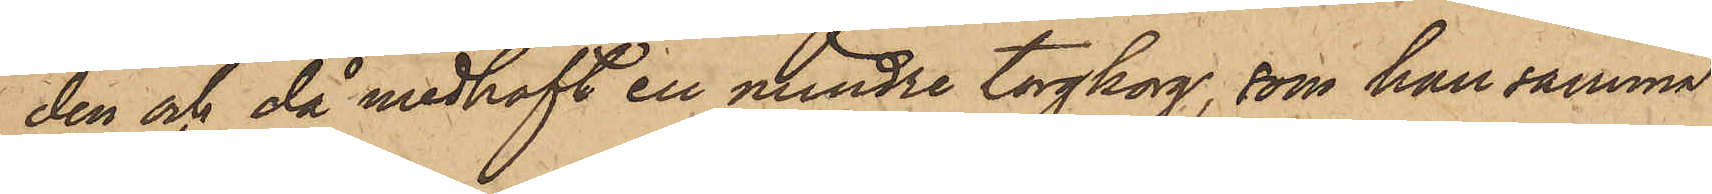den och då medhaft en mindre torgkorg, som han samma
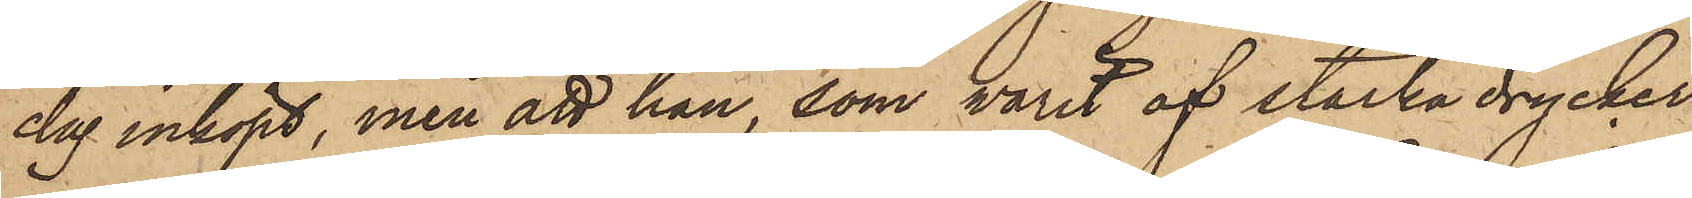dag inköpt, men att han, som varit af starka drycker
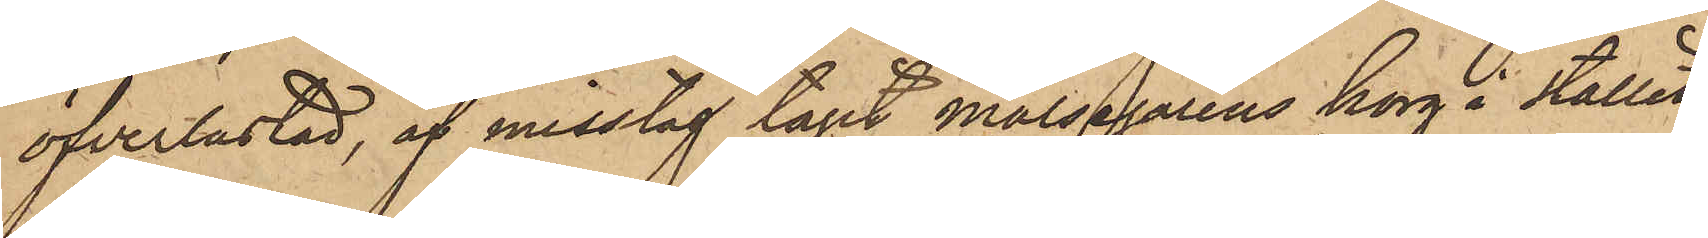öfverlastad, af misstag tagit målsegarens korg i stället
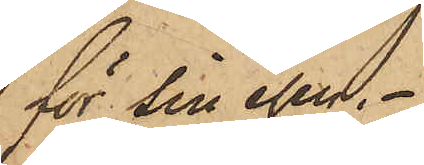för sin egen.
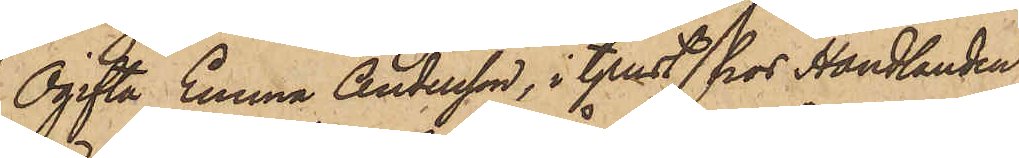Ogifta Emma Andersson, i tjenst hos Handlanden
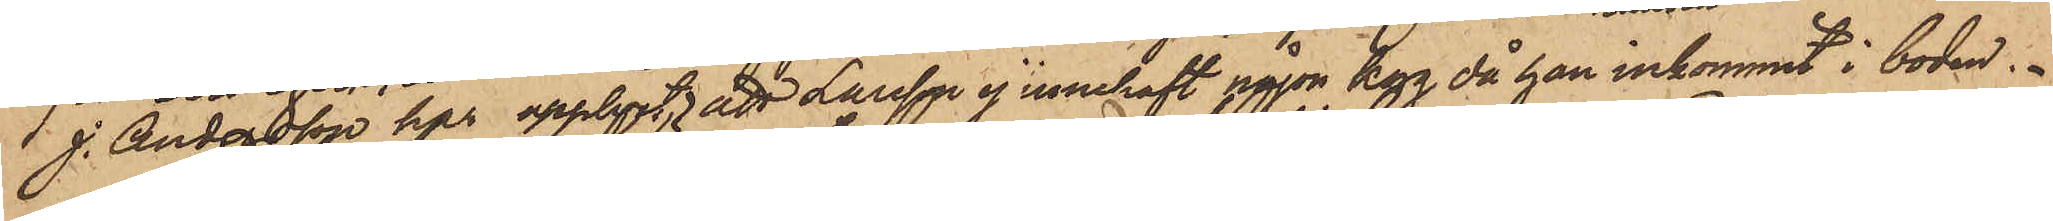J. Andersson har upplyst, att Larsson ej innehaft någon korg, då han inkommit i boden.
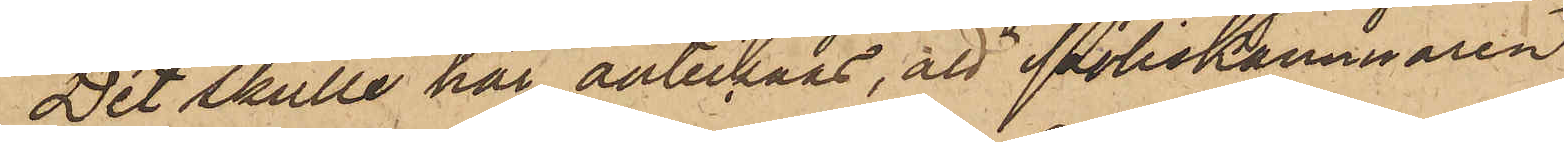Det skulle här antecknas, att Poliskammaren
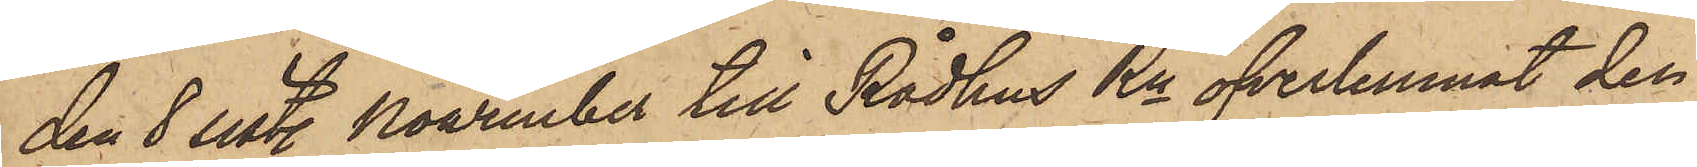den 8 sist. November till Rådhus Rn öfverlemnat den
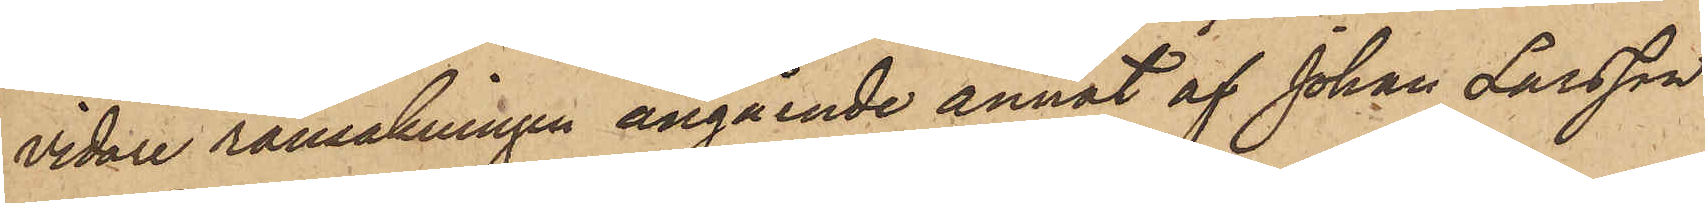vidare ransakningen angående annat af Johan Larsson
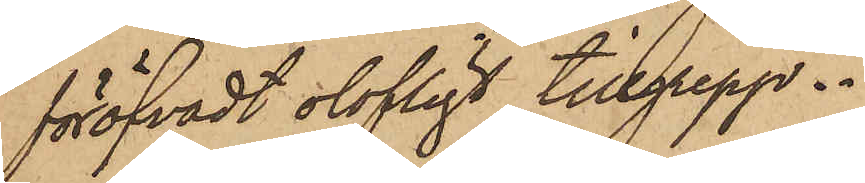föröfvadt olofligt tillgrepp.
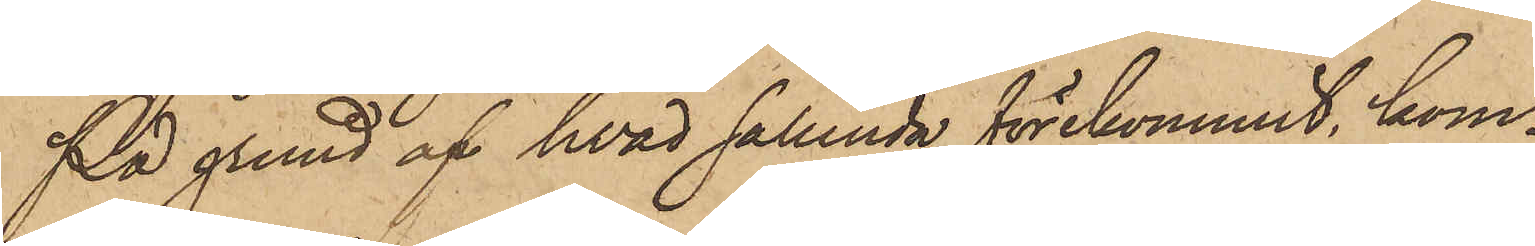På grund af hvad sålunda förekommit, kom¬
